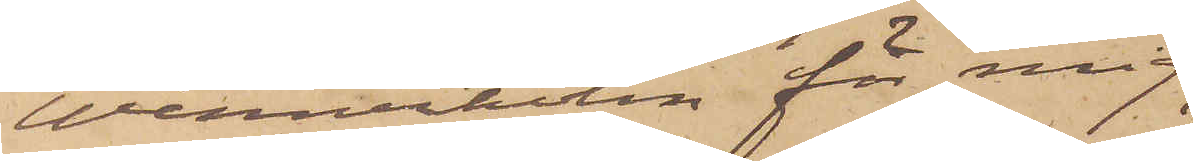Wennerholm för mig
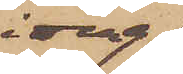idag
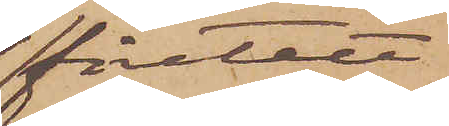företett
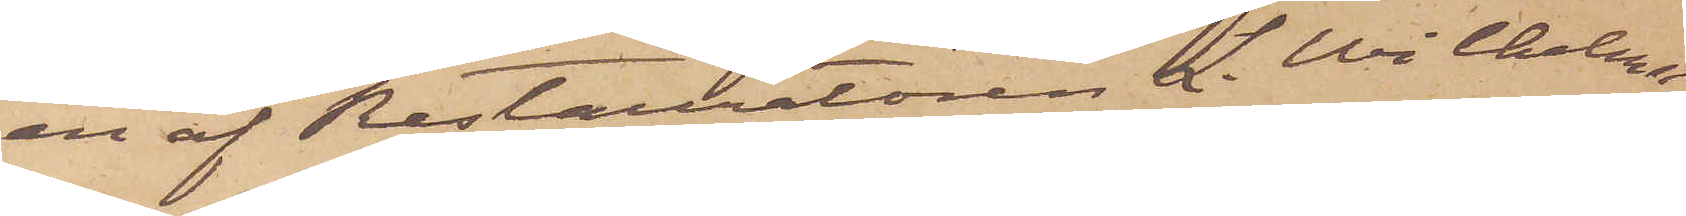en af Restauratören L. Wilhelms¬
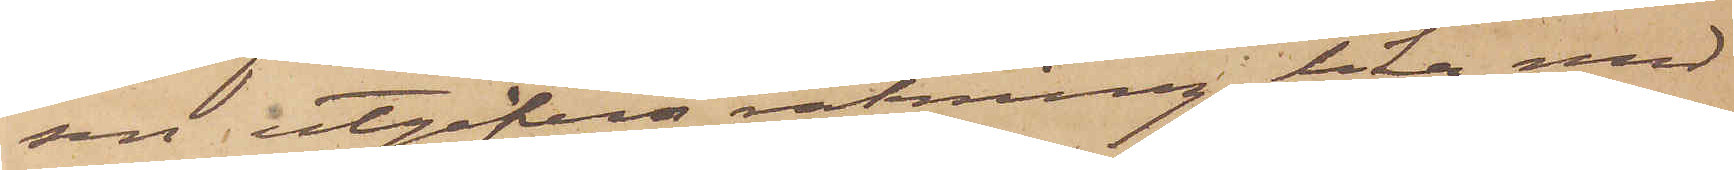son utgifven räkning, lika med
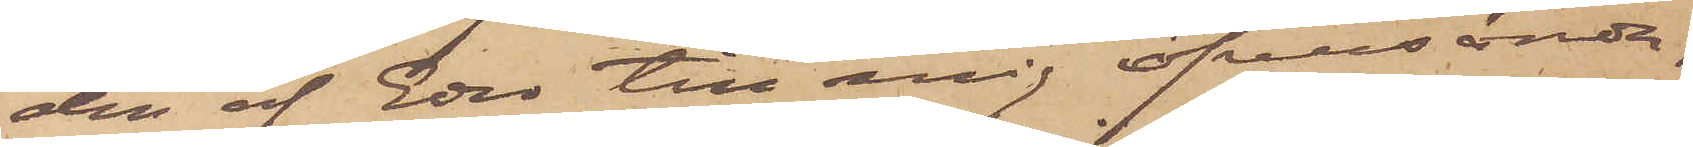den af Eder till mig öfversända,
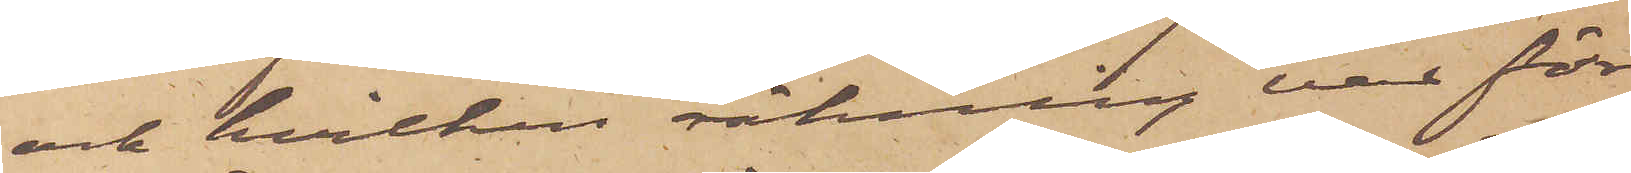och hvilken räkning var för¬
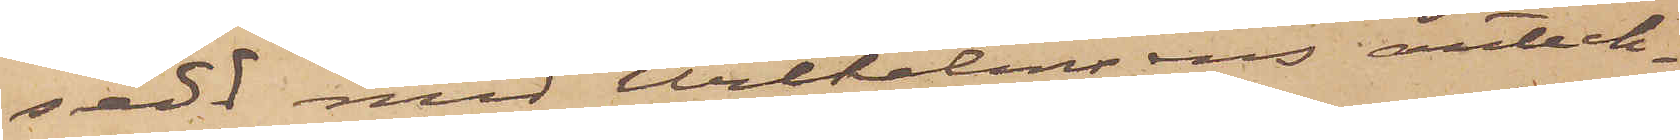sedd med Wilhelmsens anteck¬
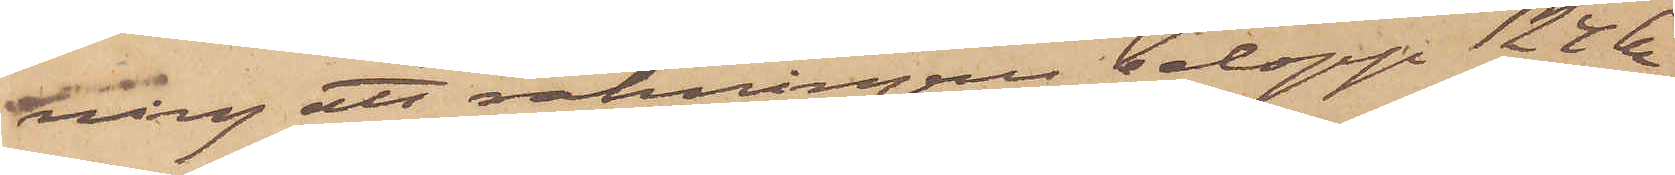kring att räkningens belopp 124 kr
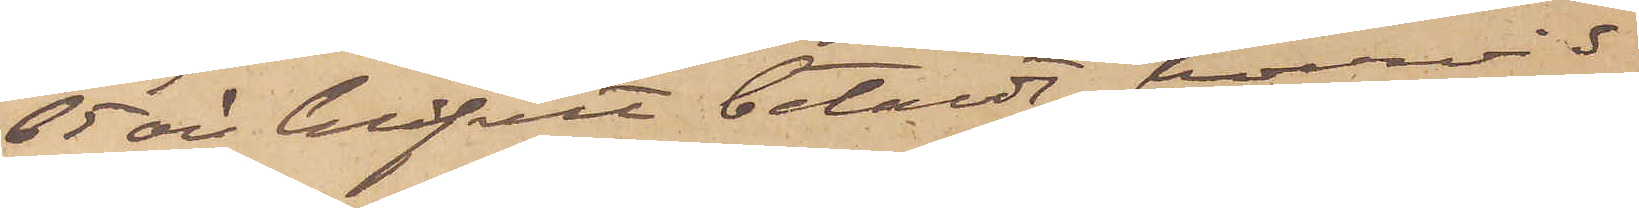65 öre blifvit betaldt, hvarvid
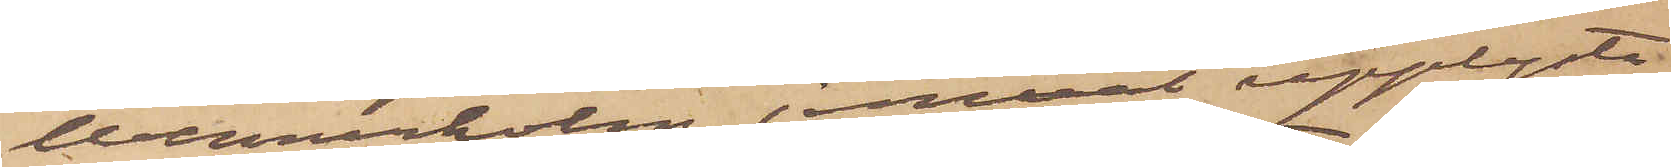Wennerholm jemväl upplyste,
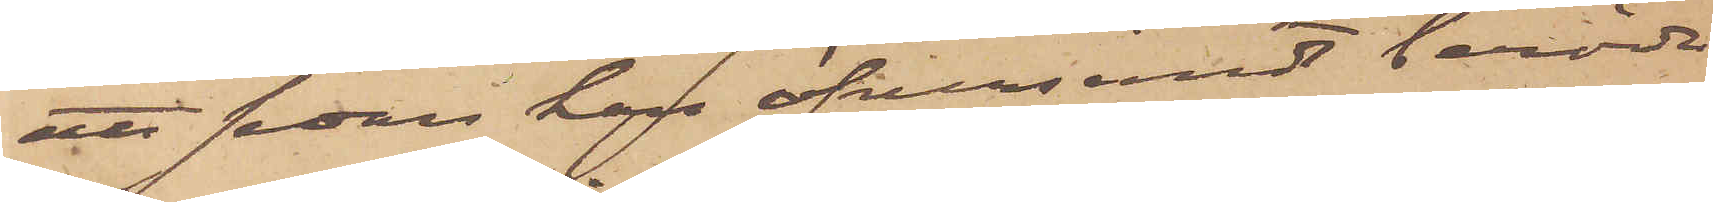att sedan han öfversändt berördt
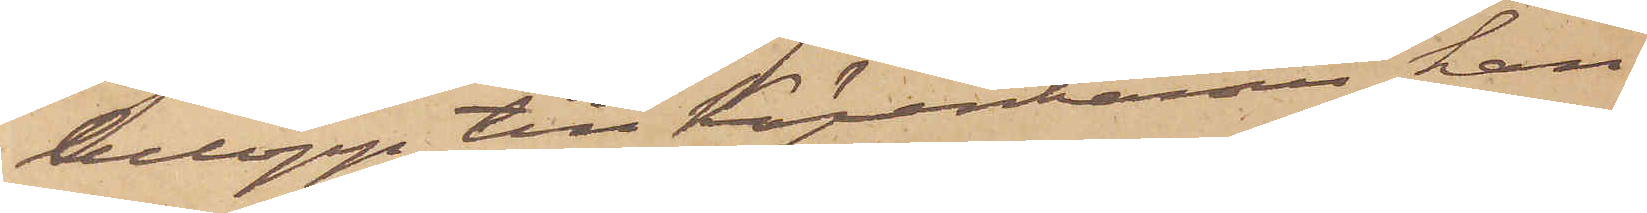belopp till Köpenhamn han
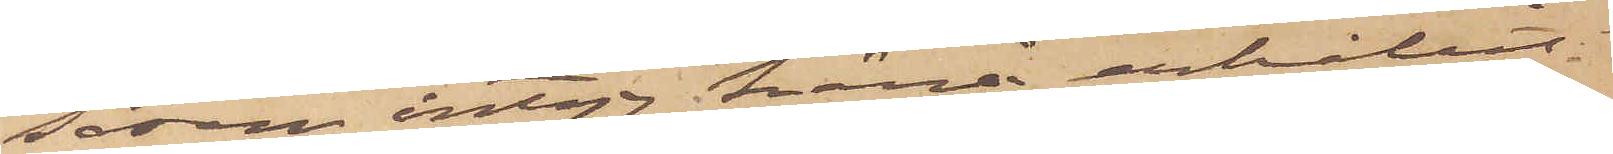såsom intyg härå erhållit
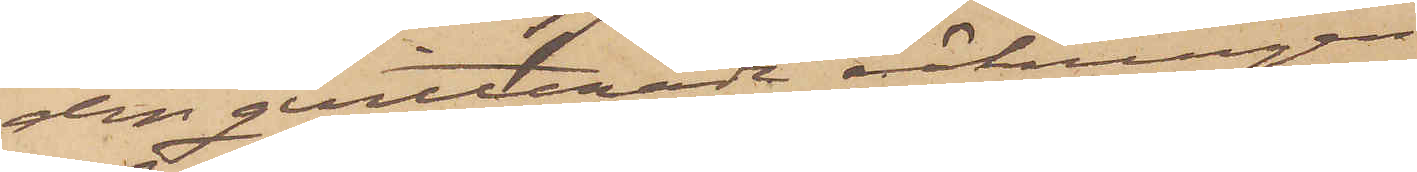den qvitterade räkningen.
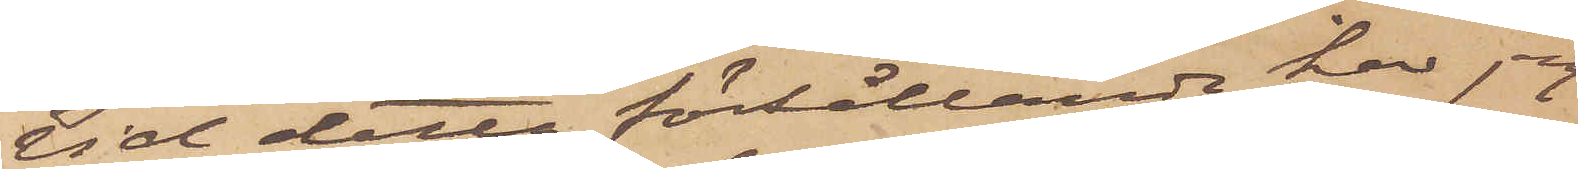Vid detta förhållande har jag
